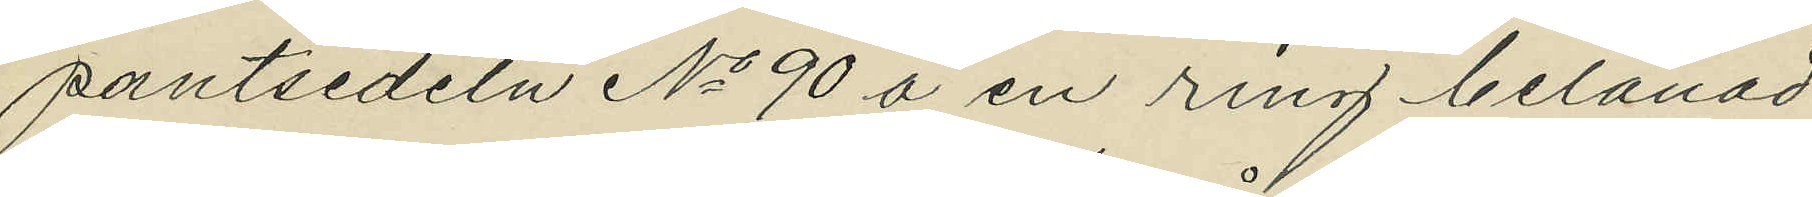pantsedeln No 90 å en ring belånad
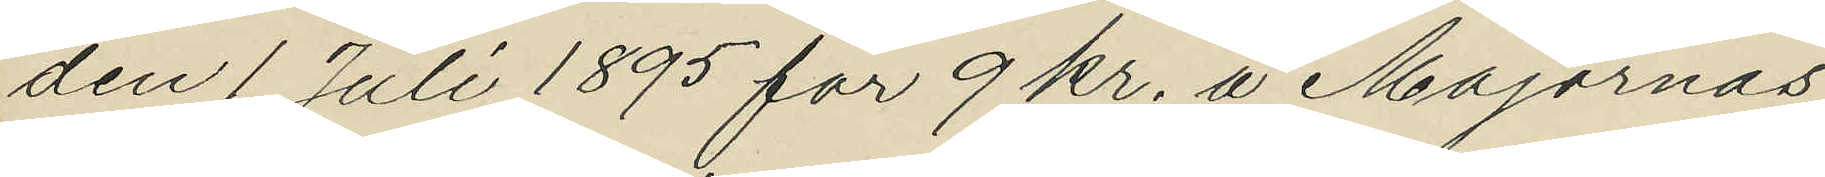den 1 Juli 1895 för 9 kr. å Majornas
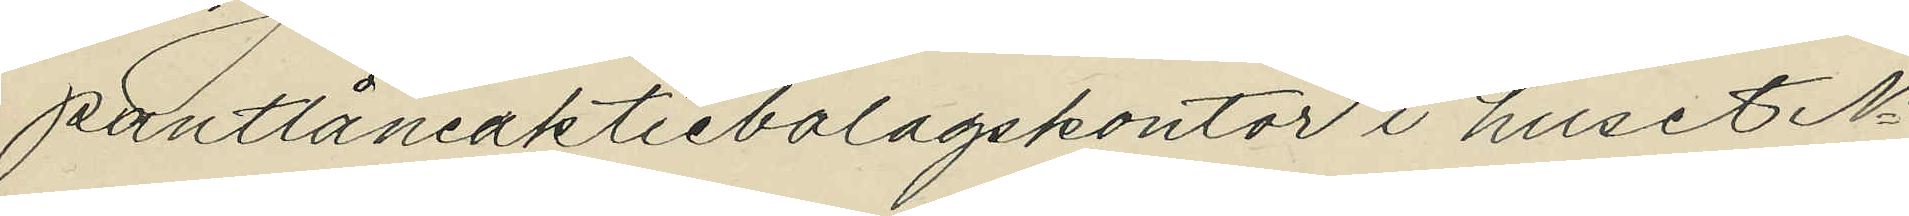pantlåneaktiebolagskontor i huset No
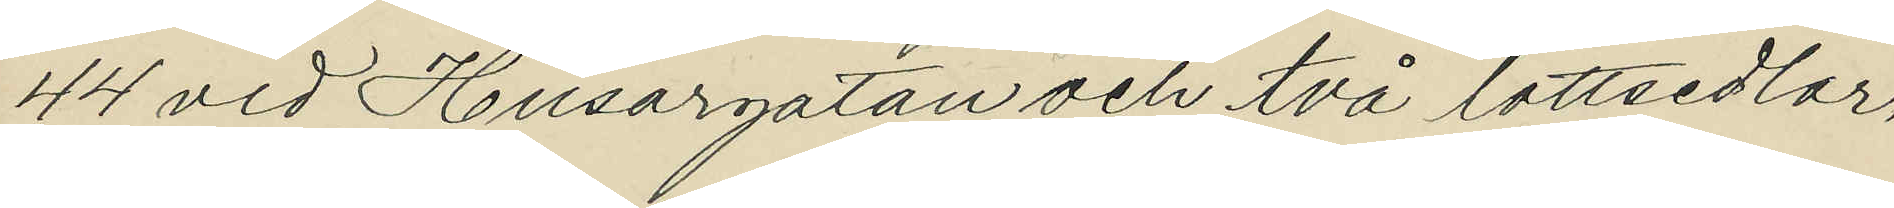44 vid Husargatan och två lottsedlar,
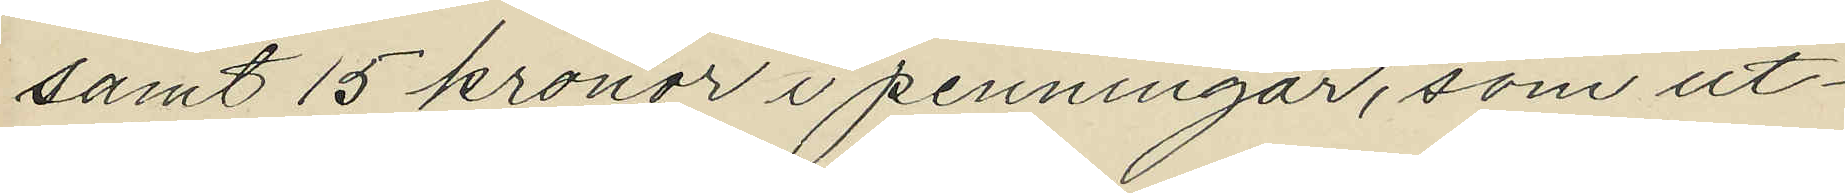samt 15 kronor i penningar, som ut¬
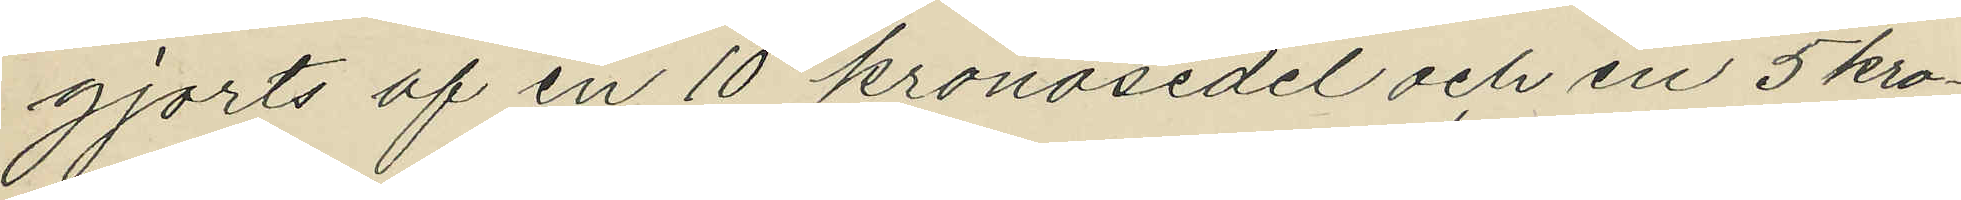gjorts af en 10 kronosedel och en 5 kro¬
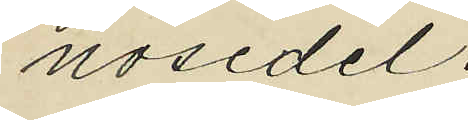nosedel.
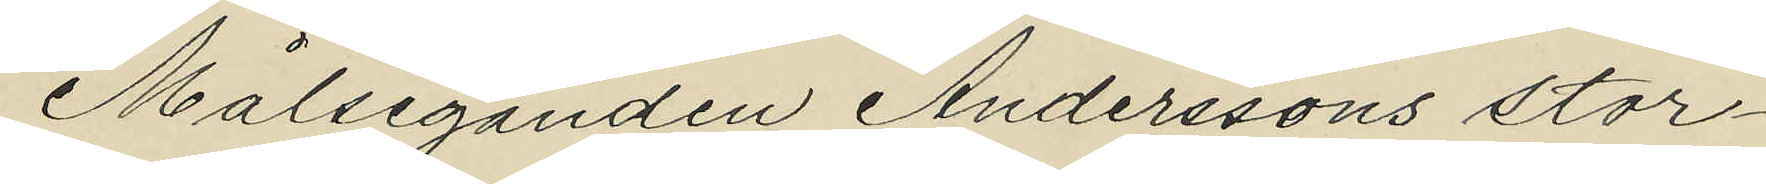Målseganden Anderssons stor¬
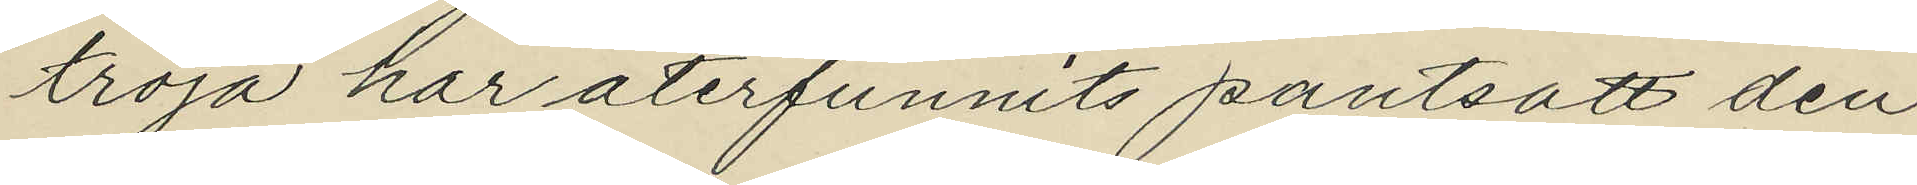tröja har återfunnits pantsatt den
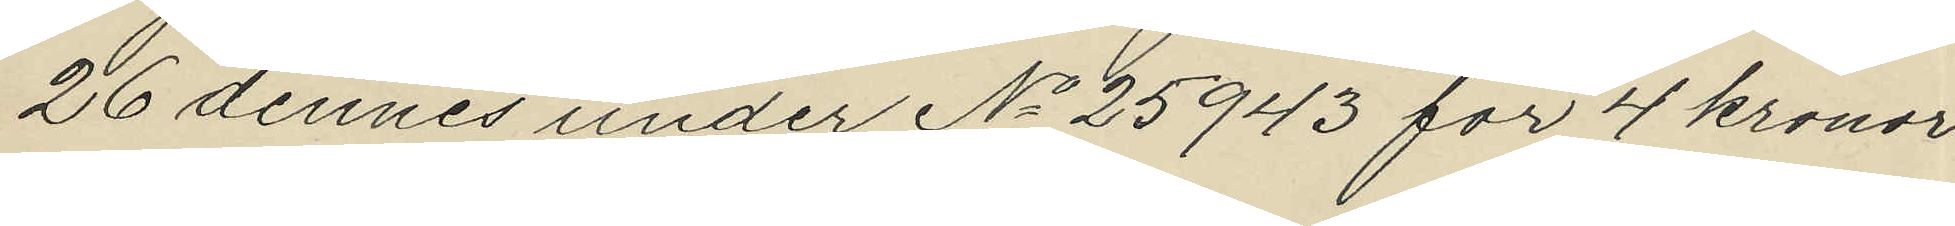26 dennes under No 25943 för 4 kronor
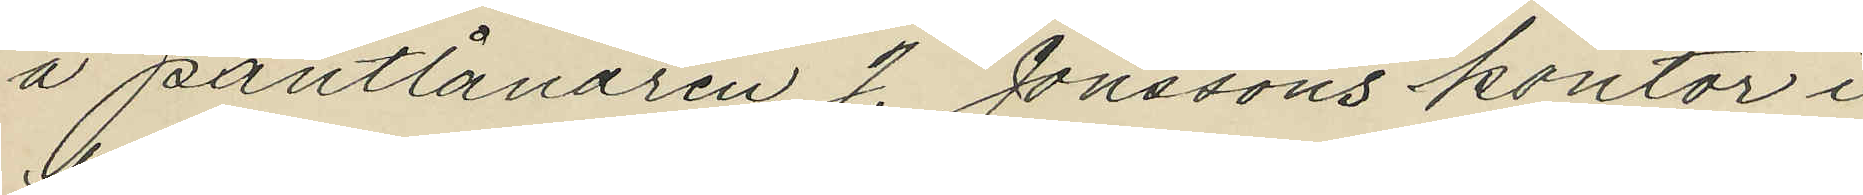å pantlånaren J. Jönssons kontor i
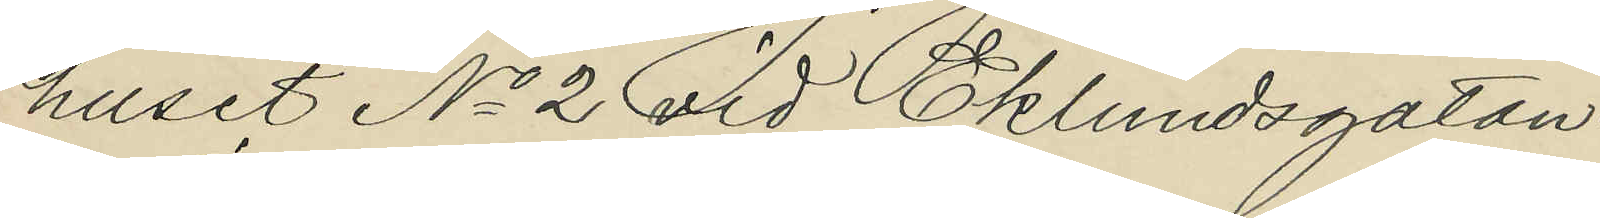huset No 2 vid Eklundsgatan.
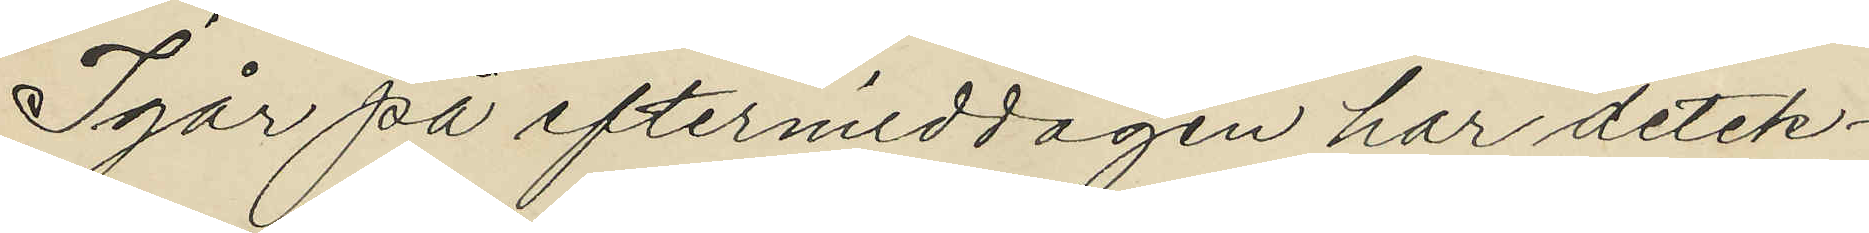Igår på eftermiddagen har detek¬
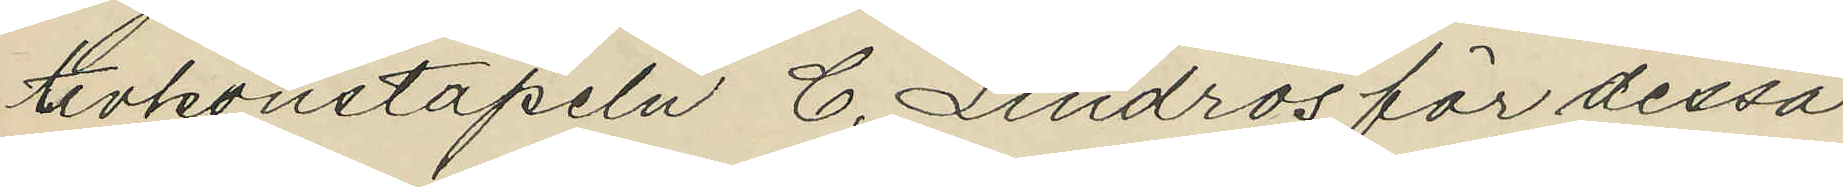tivkonstapeln C. Lindros för dessa
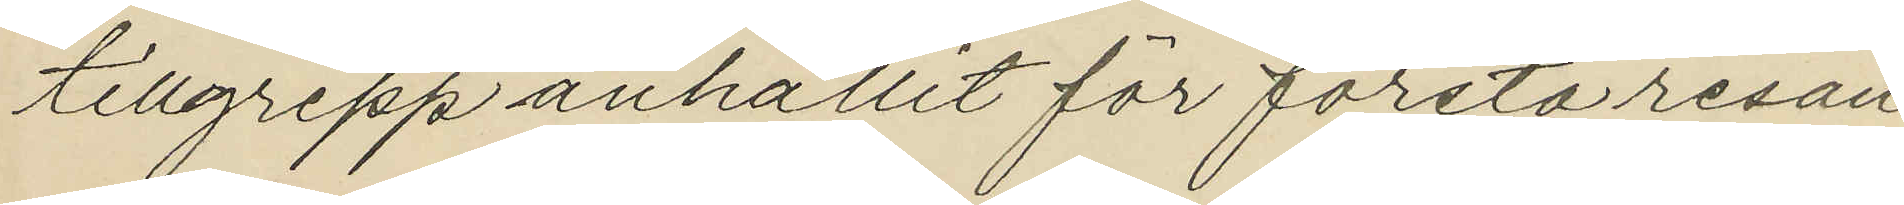tillgrepp anhållit för första resan
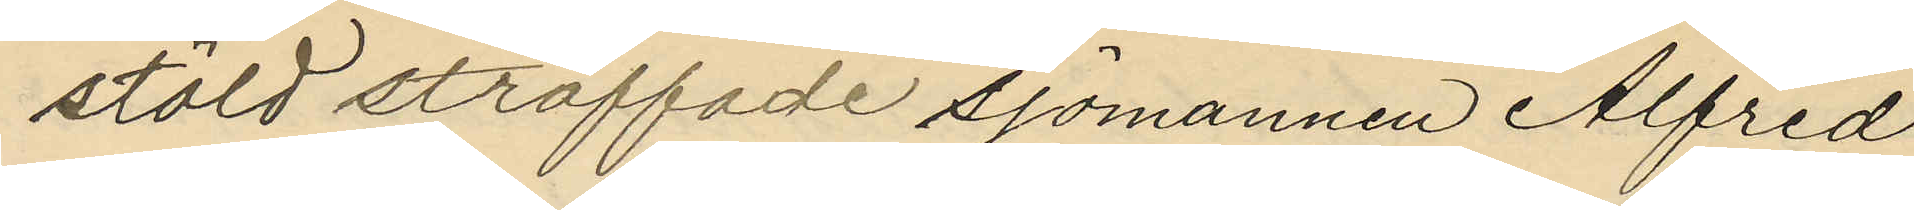stöld straffade sjömannen Alfred
